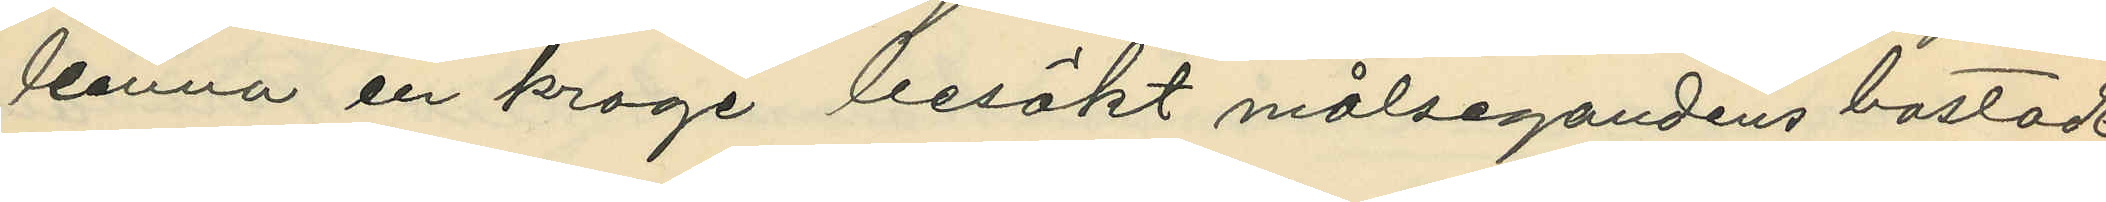lemna en krage besökt målsegandens bostad
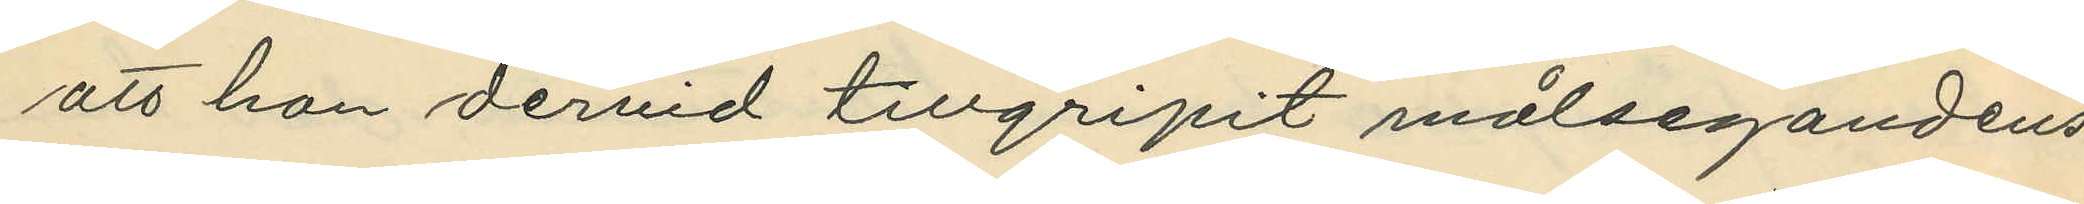att han dervid tillgripit målsegandens
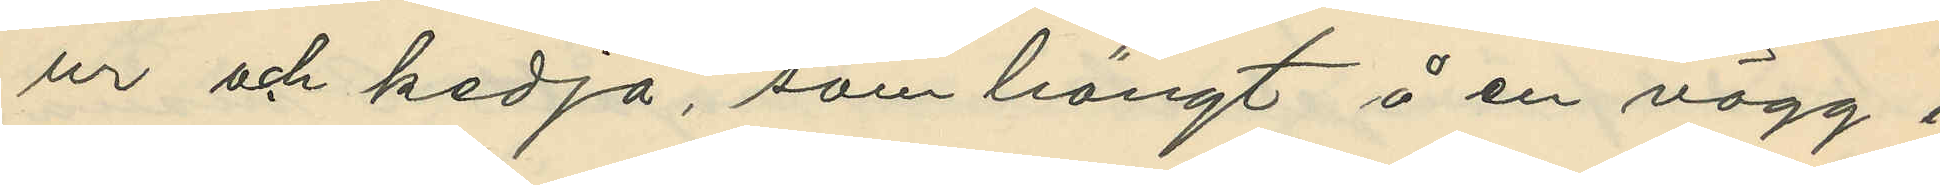ur och kedja, som hängt i en vägg i
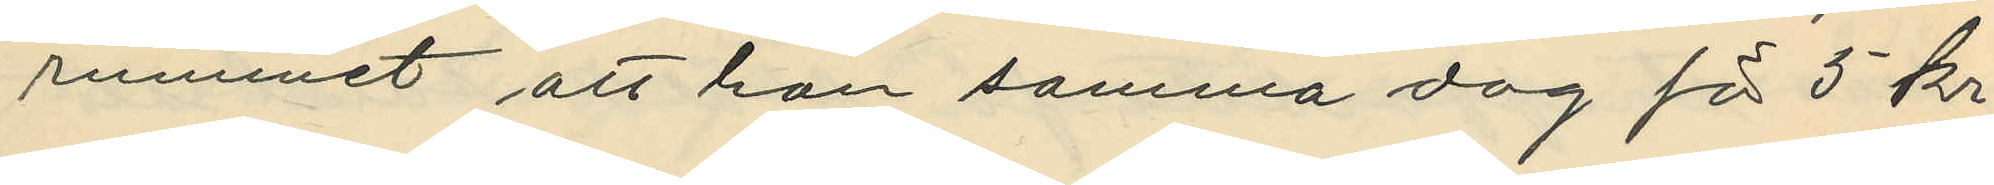rummet att han samma dag för 5 kr.
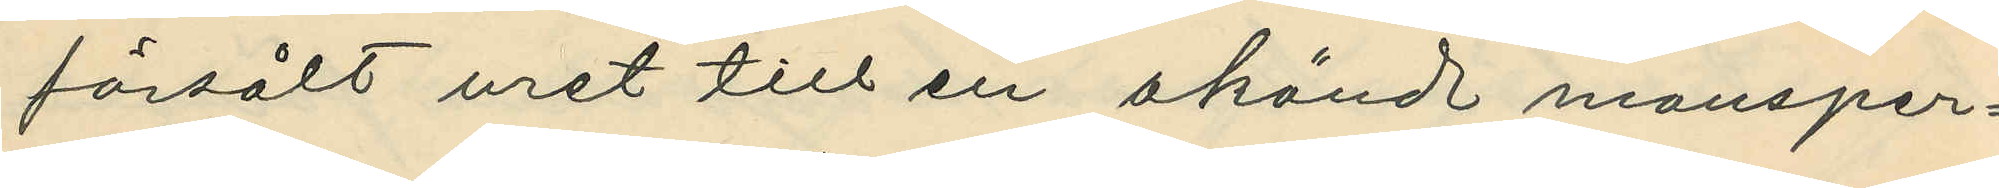försålt uret till en okändt mansper¬
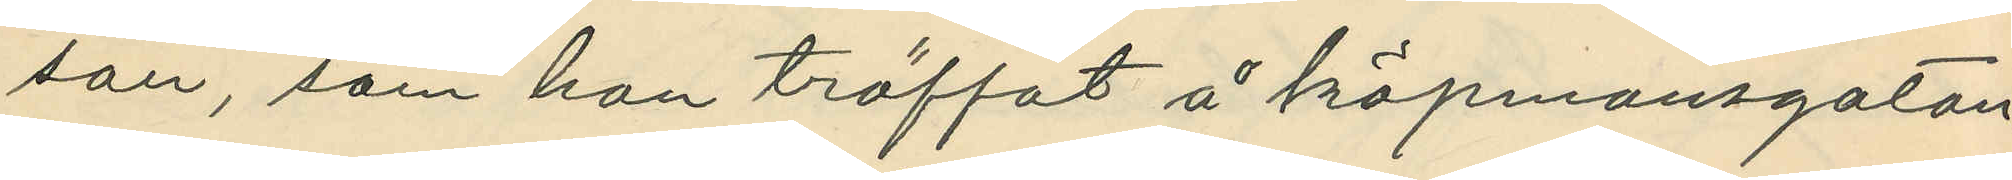son, som han träffat å köpmansgatan
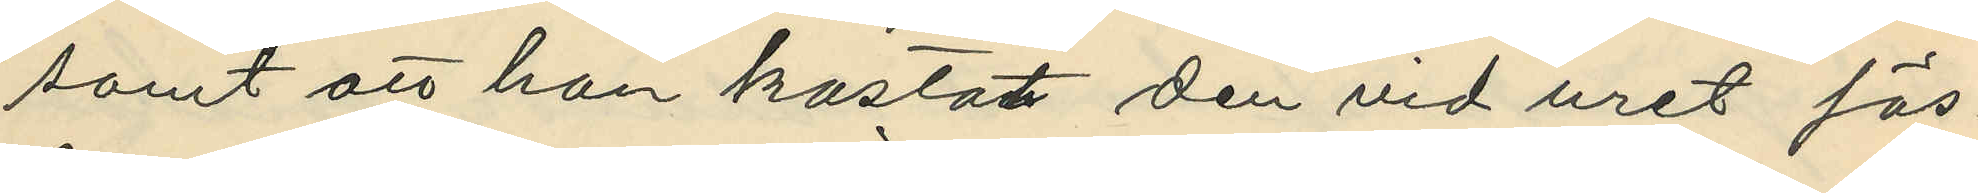samt att han kastat den vid uret fäs¬
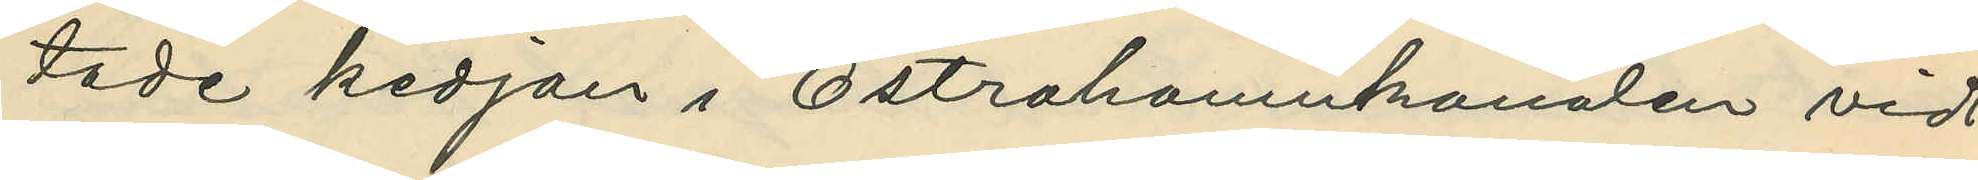tade kedjan i Östrahamnkanalen vid
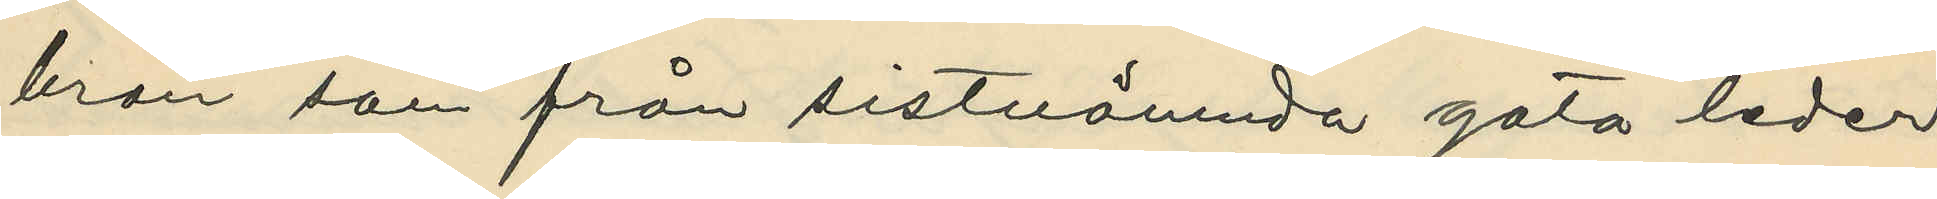bron som från sistnämnda gata leder
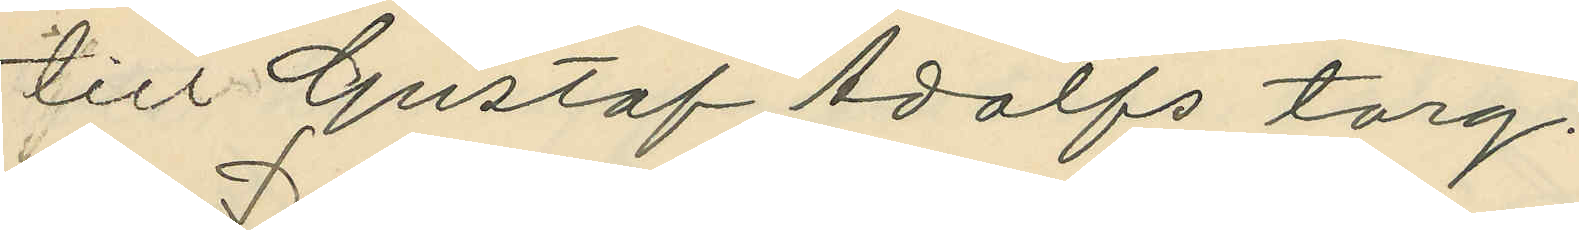till Gustaf Adolfs torg.
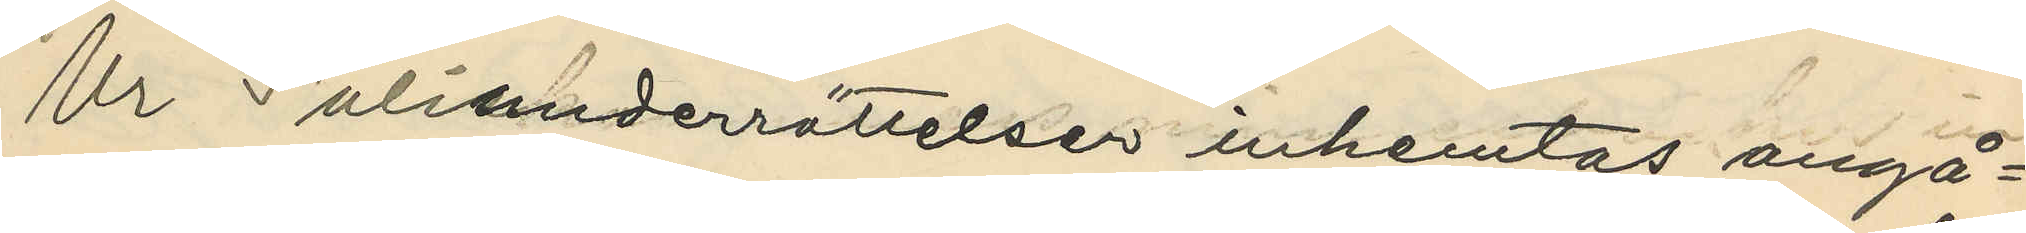Ur Polismderrättelser inhemtas angå¬
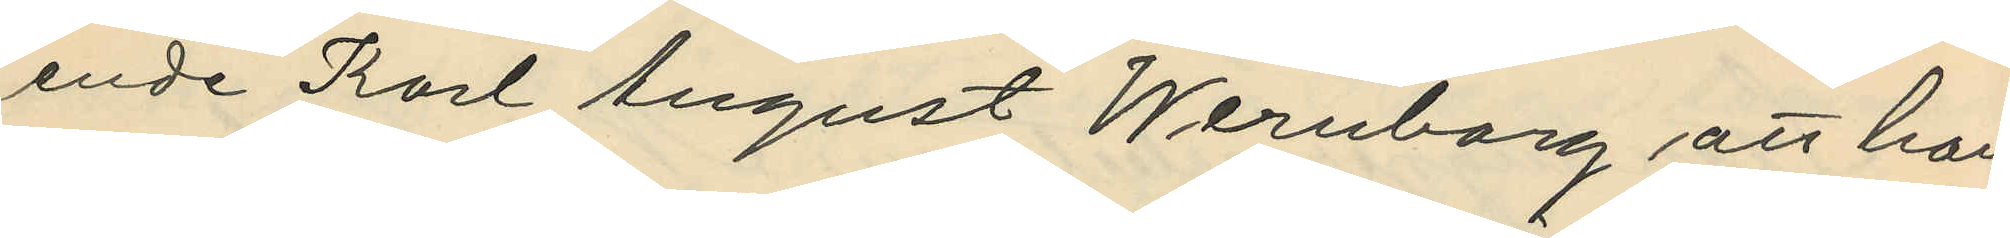ende Karl August Wernborg att han
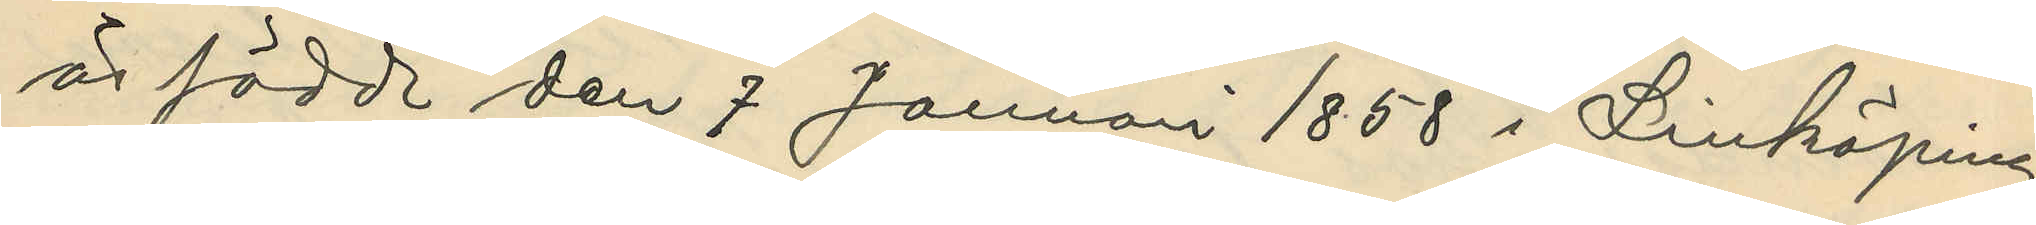är född den 7 Januari 1858 i Linköping
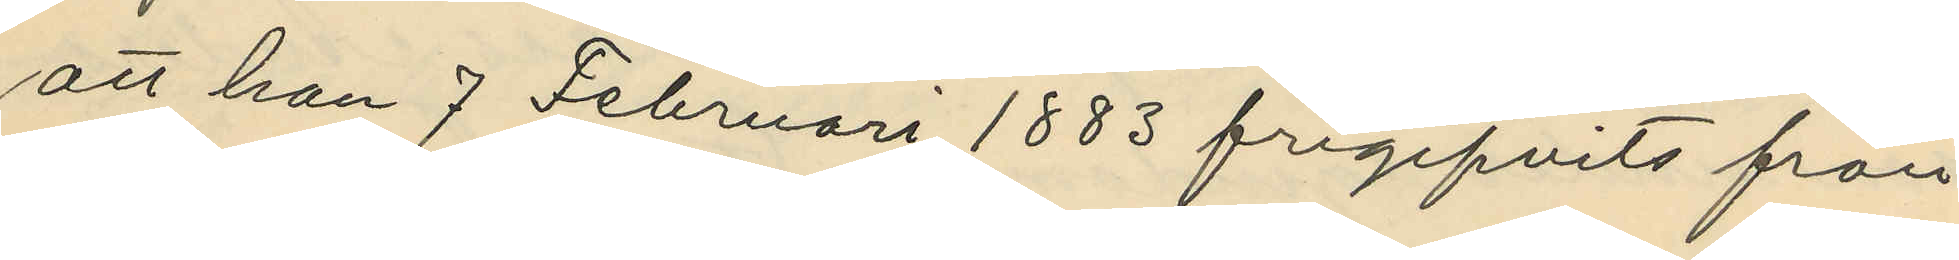att han 7 Februari 1883 frigifvits från
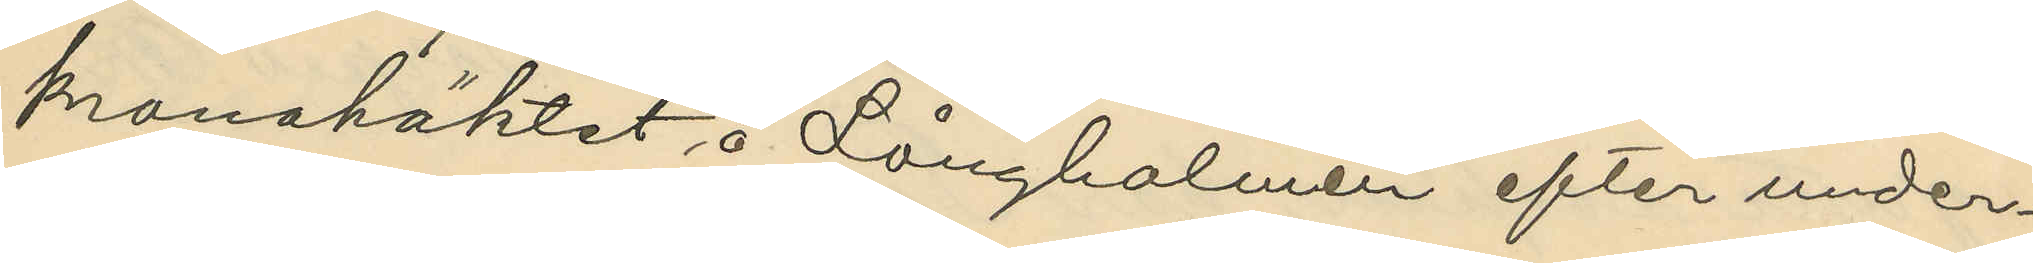kronohäktet å Långholmen efter under¬
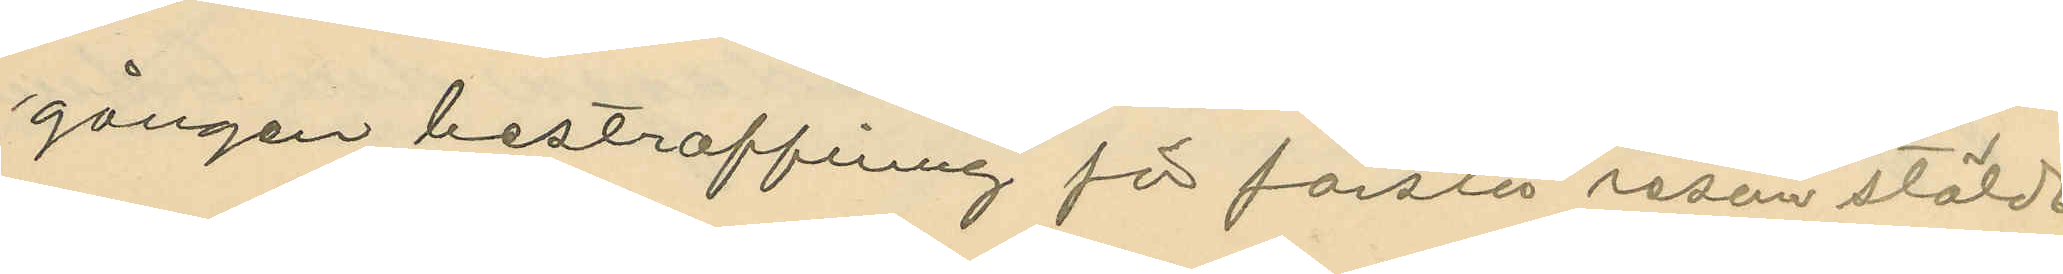gången bestraffning för första resan stöld
